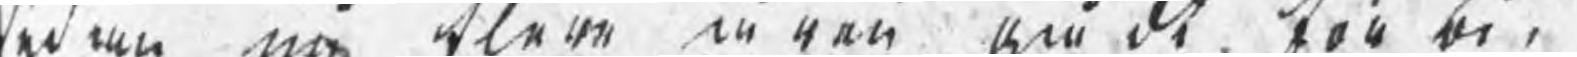sedan in klare m ran om de töo be¬
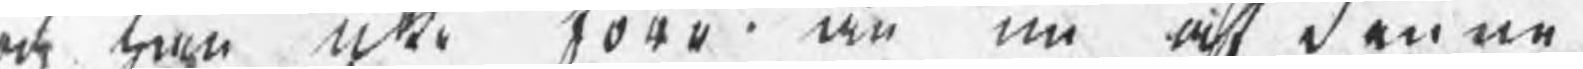och hn iche toro än nu at denne
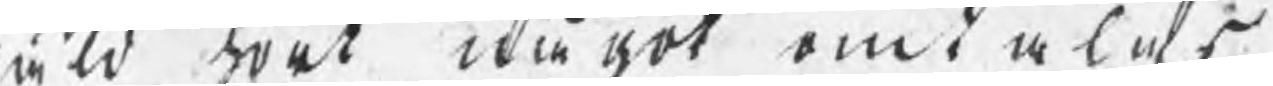åld wet dkå pot omt alas
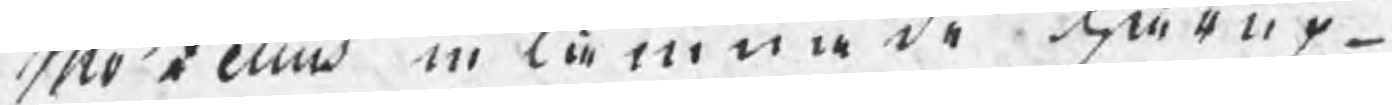Orio åelius in låmna de dertur¬
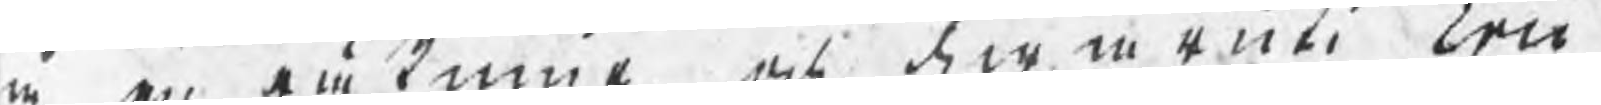re en tå kune, och derin enn beco
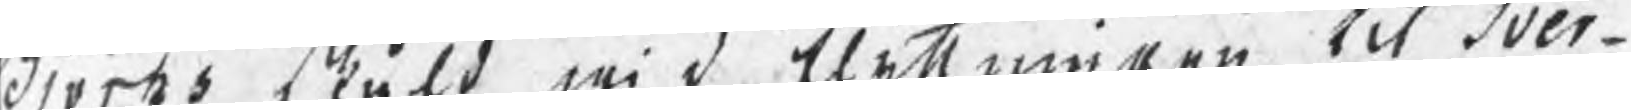Norks Stuld wi d Rlyttningen tct Sver¬
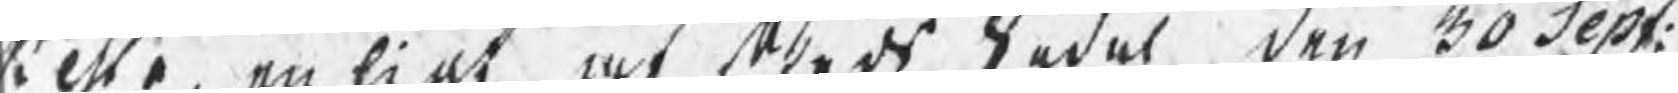ti Mo en ligt at Steds Sadel den 30 depf: 
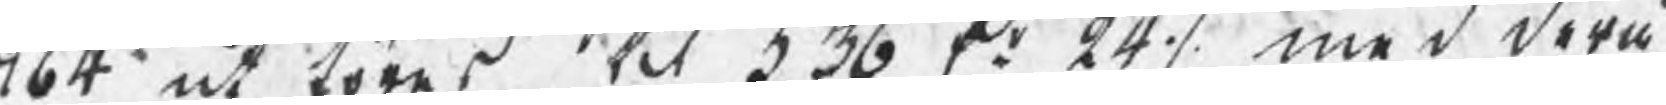b4 ut Löras tit 336 Dr 241, med deru 
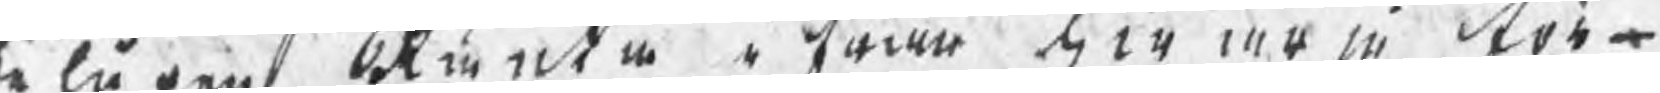ela pent Runta ifwan har more Röt¬
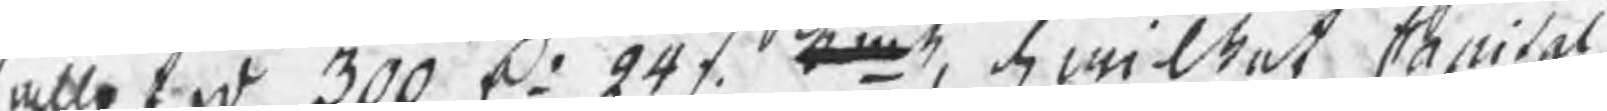alletv 300 D 241 tet, dciStat Arisal 
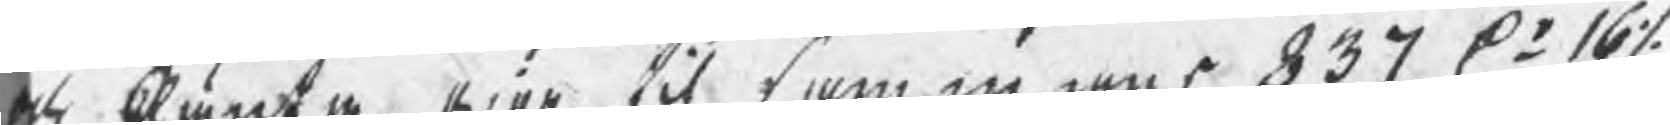och Ränte Giör til sammnnes 337 D.r 16/ 
